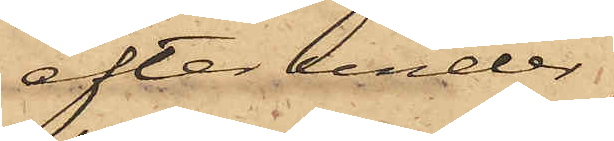efter under¬
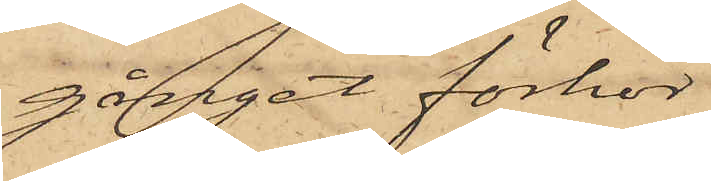gånget förhör
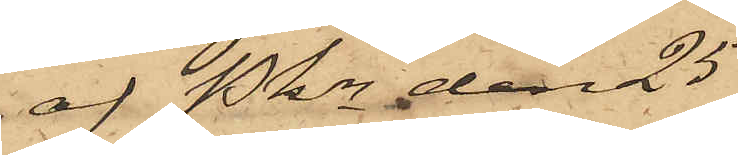af Pkn den 25
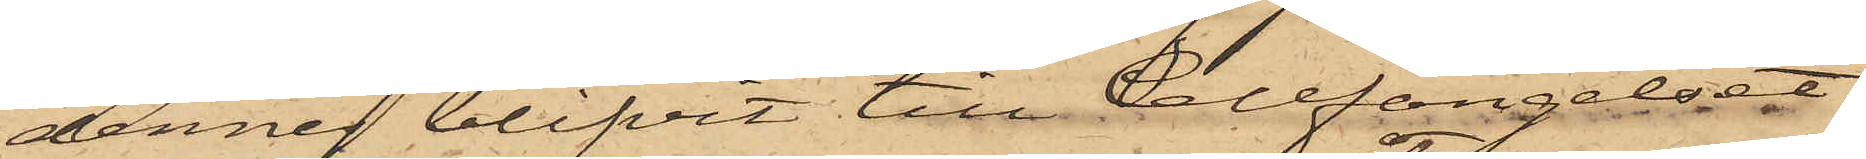dennes blifvit till Cellfängelset
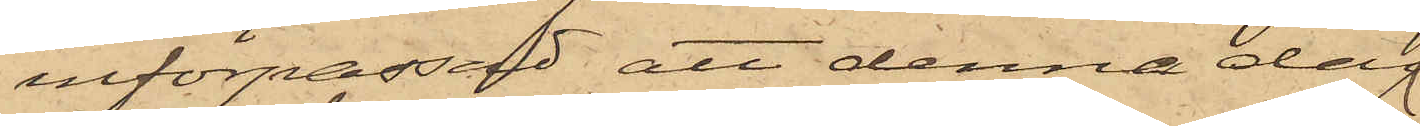införpassad, att denna dag
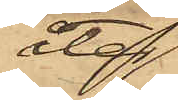åter
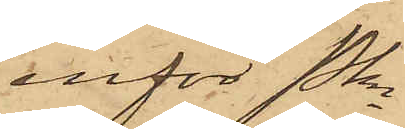inför Pkn
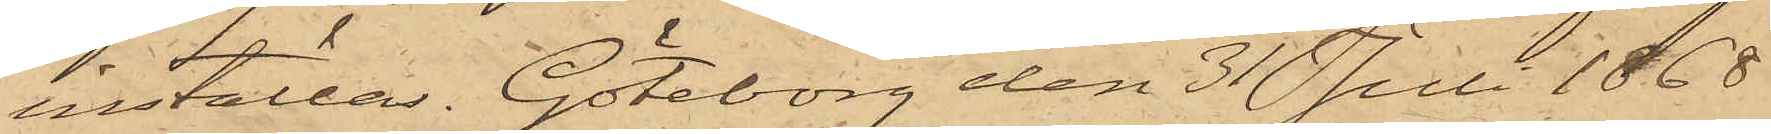inställas. Göteborg den 31 Juli 1868.
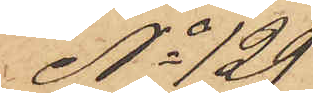No 129
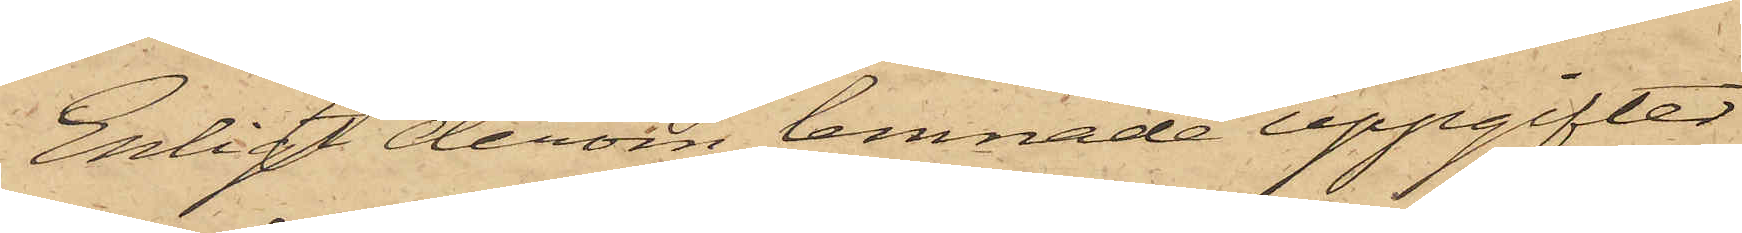Enligt derom lemnade uppgifter
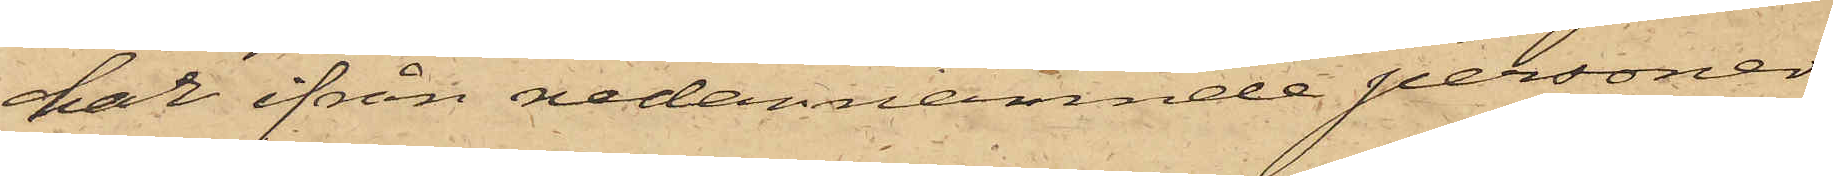har ifrån nedannämnde personer
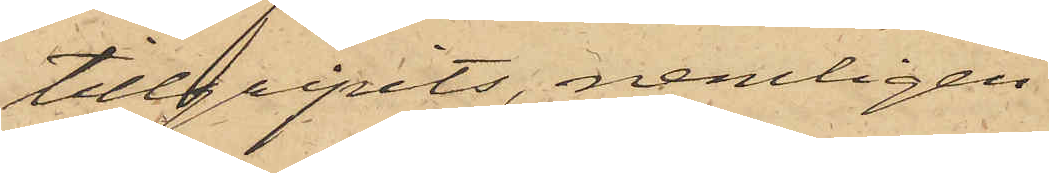tillgripits, nemligen
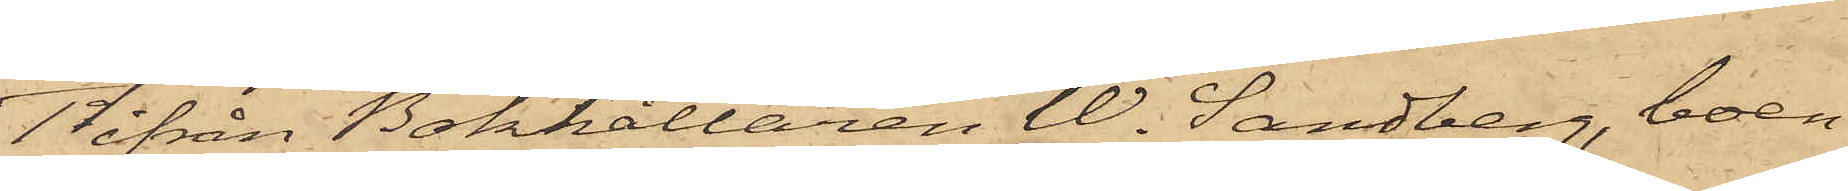1o ifrån Bokhållaren W. Sandberg, boen¬
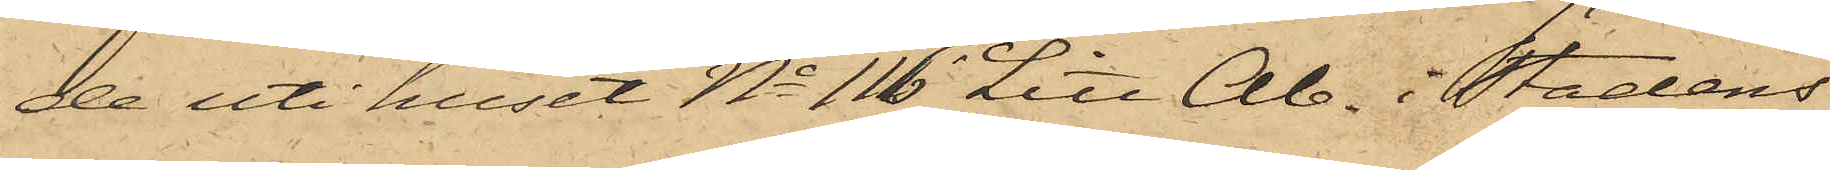de uti huset No 116 Litt Ab. i Stadens
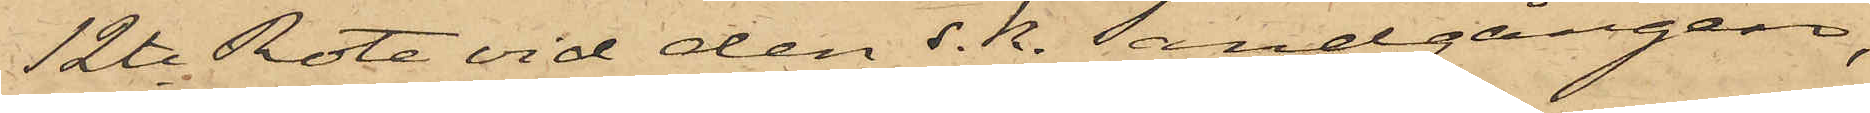12te Rote vid den s. k. Sandgången,
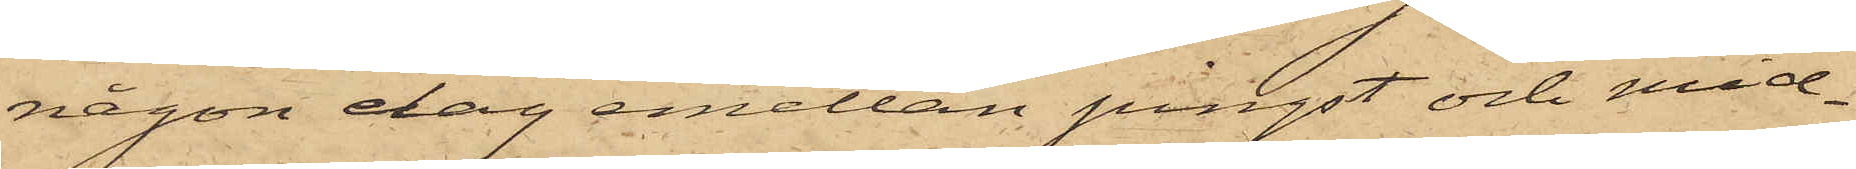någon dag emellan pingst och mid¬
